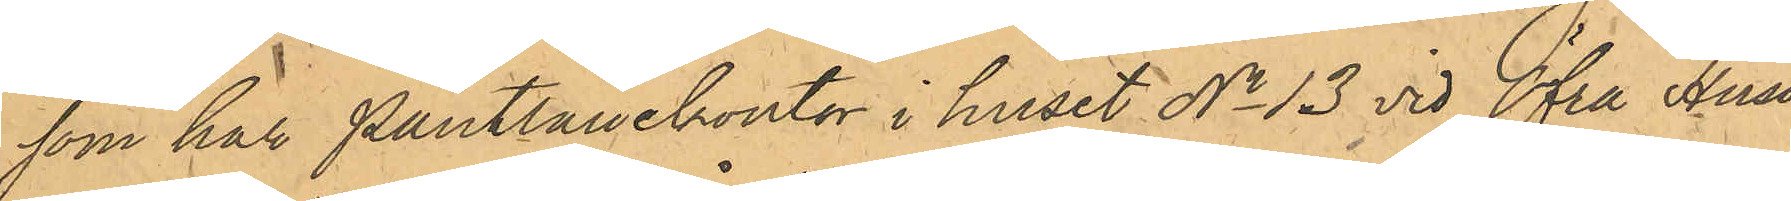som har Pantlånekontor i huset No 13 vid Öfra Husar¬
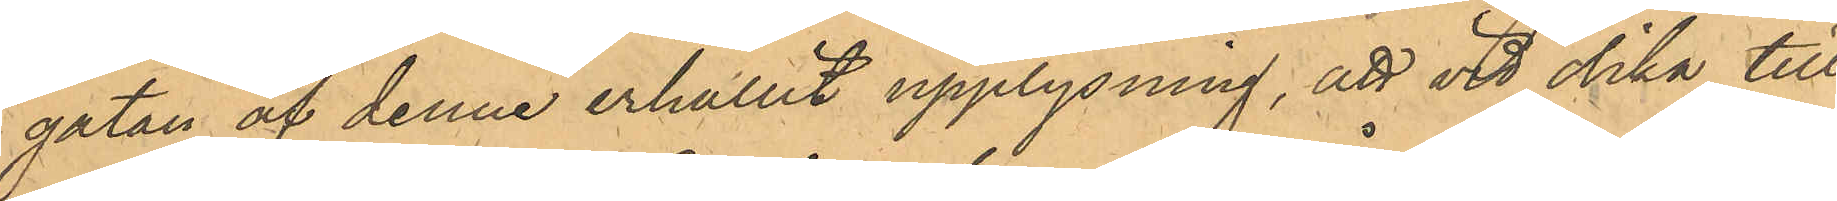gatan af denne erhållit upplysning, att vid olika till¬
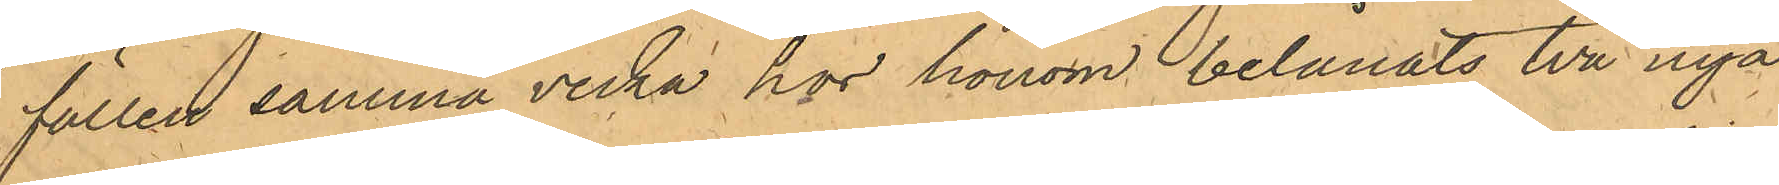fällen samma vecka hos honom belånats två nya
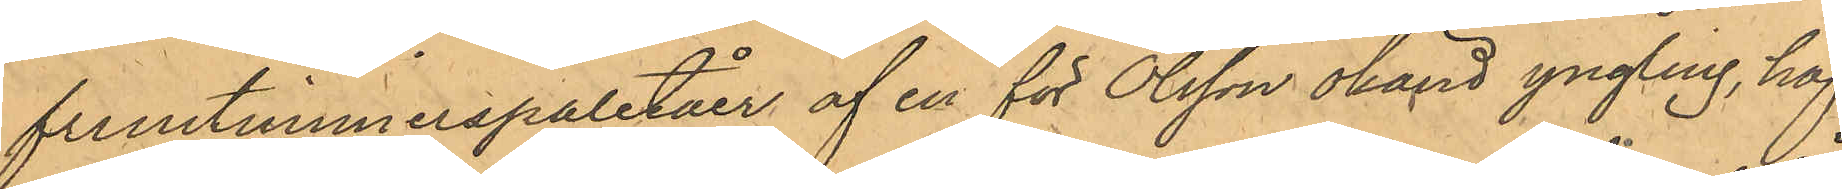fruntimmerspaletåer af en för Olsson okänd yngling, haf¬
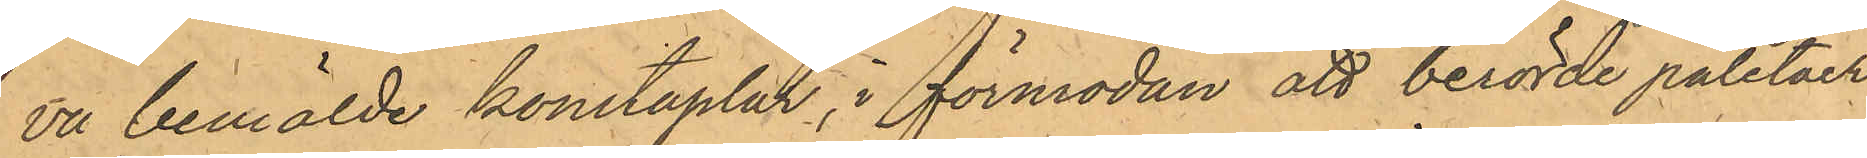va bemälde konstaplar, i förmodan att berörde paletåer
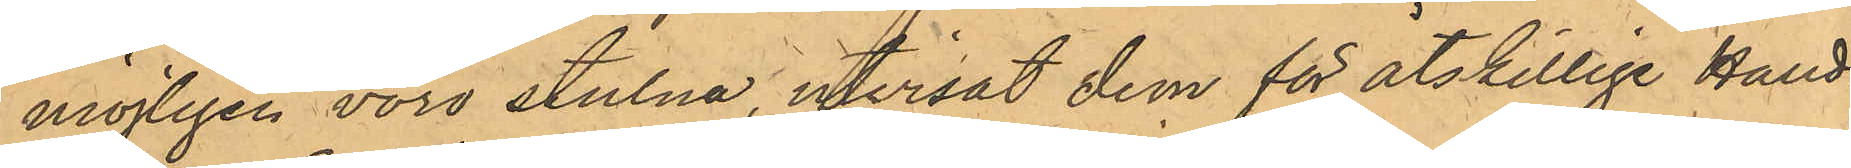möjligen voro stulna, utvisat dem för åtskillige Hand¬
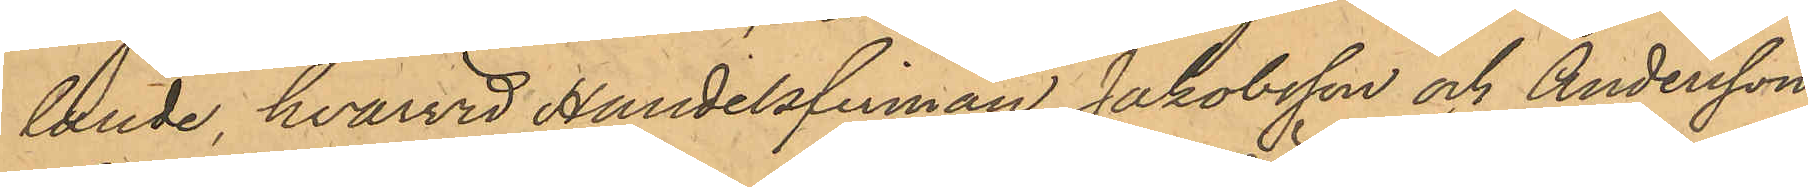lande, hvarvid handelsfirman Jakobsson och Andersson,
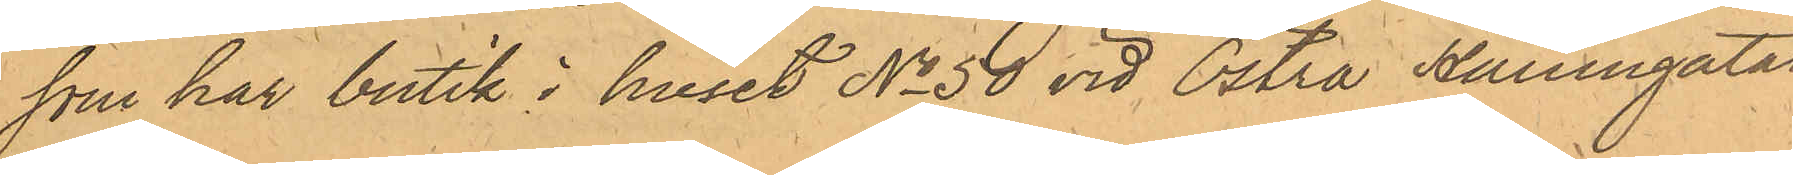som har sin butik i huset No 50 vid Östra Hamngatan
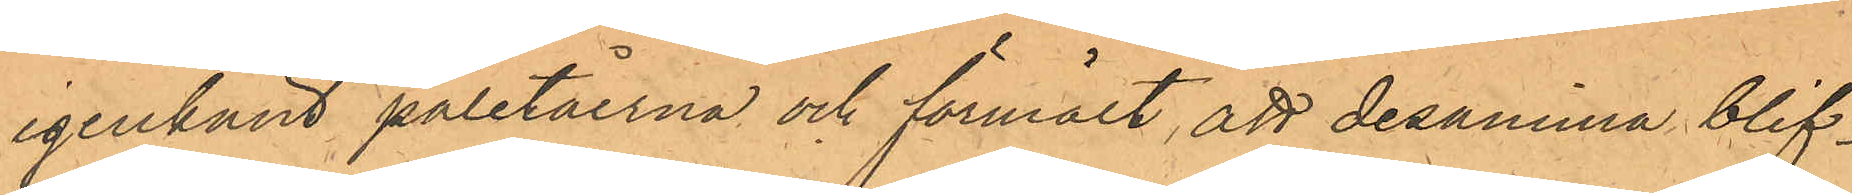igenkänt paletåerna och förmält, att desamma blif¬
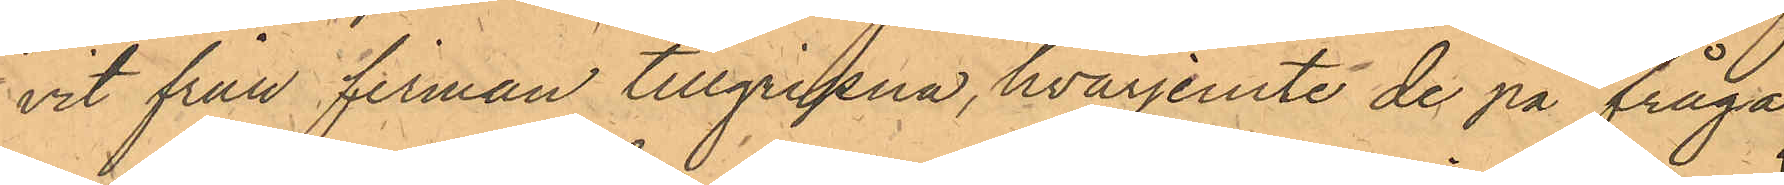vit från firman tillgripne, hvarjemte de på fråga
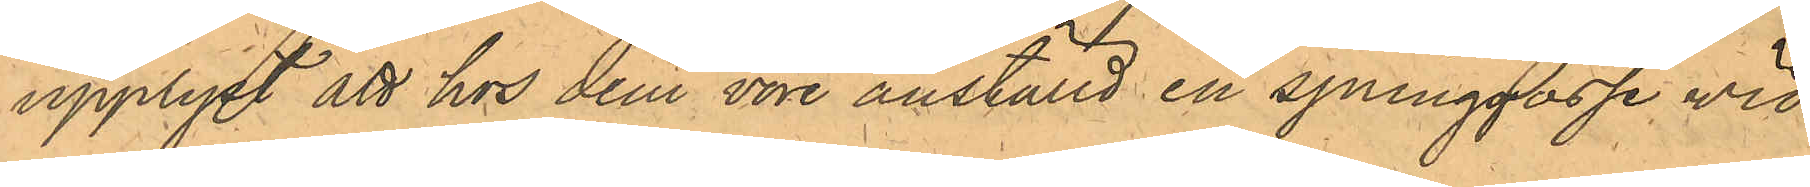upplyst att hos dem vore anställd en springpojke vid
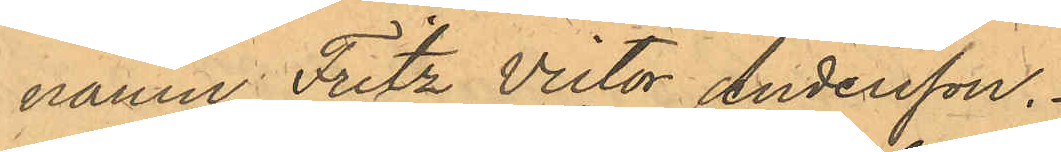namn Fritz Victor Andersson.
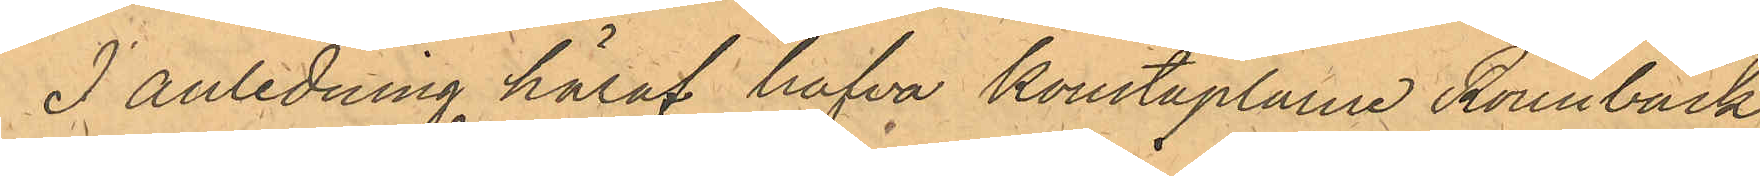I anledning häraf hafva konstaplarne Rönnbäck
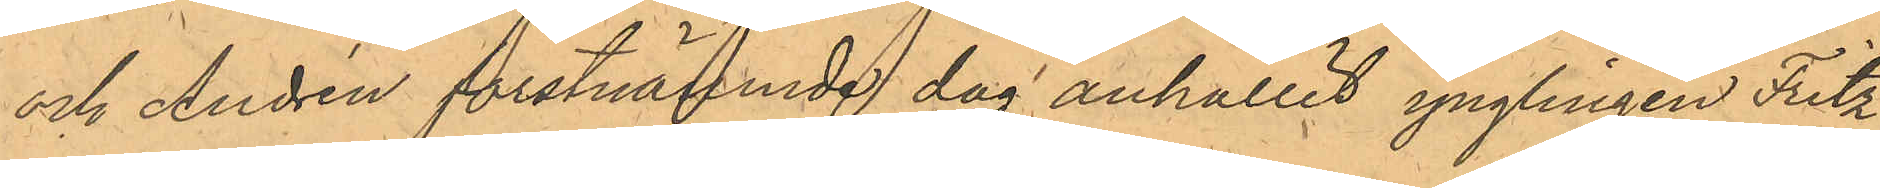och Andrén förstnämnde dag anhållit ynglingen Fritz
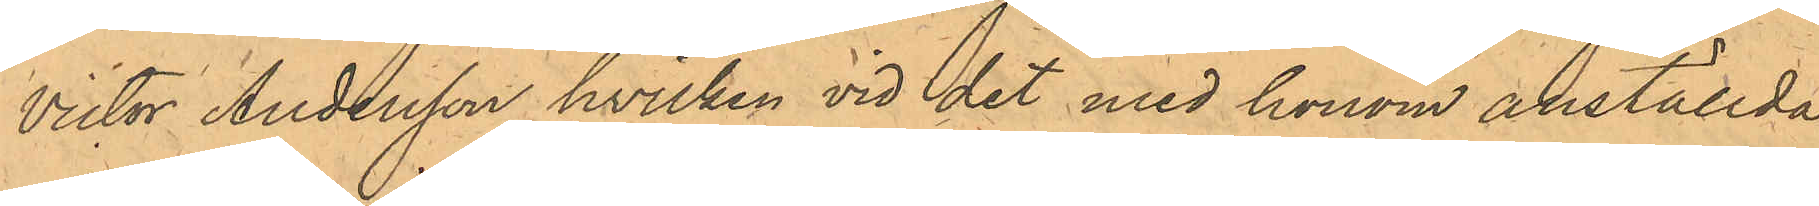Victor Andersson hvilken vid det med honom anställda
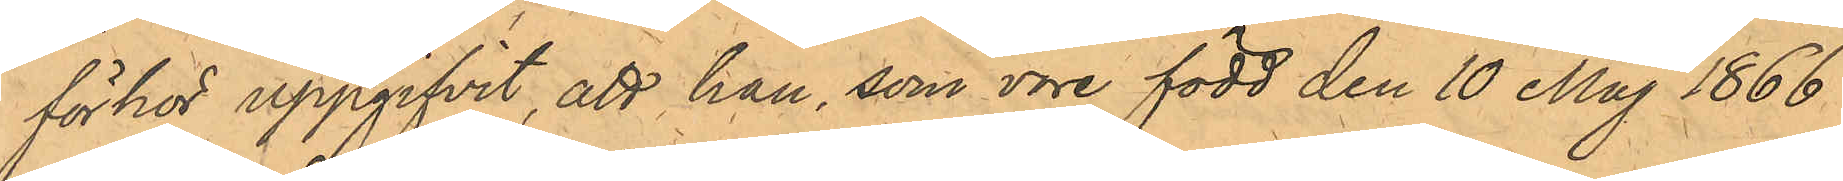förhör uppgifvit, att han som vore född den 10 Maj 1866
